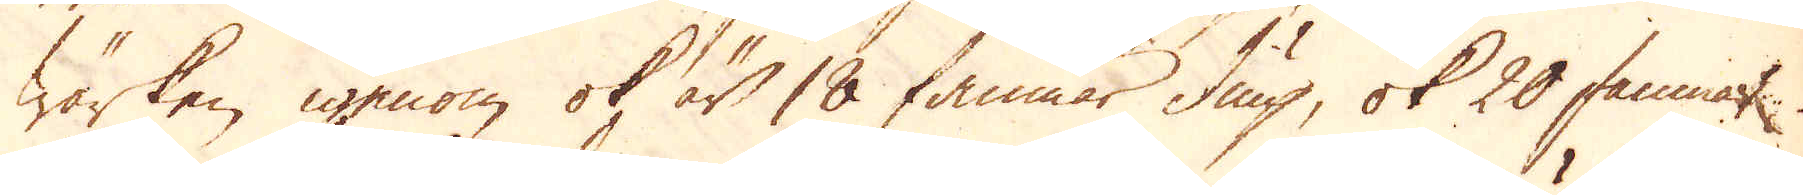Wärken igenom ok är 18 famnar diup, ok 20 famnar
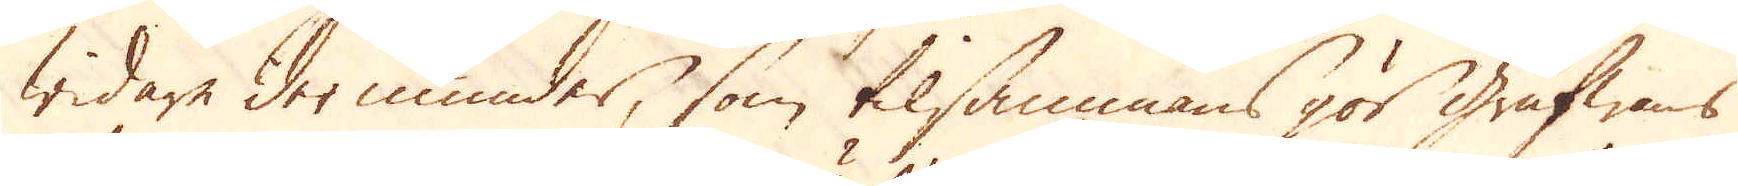widare der inunder, som tilsammans gör Grufwans
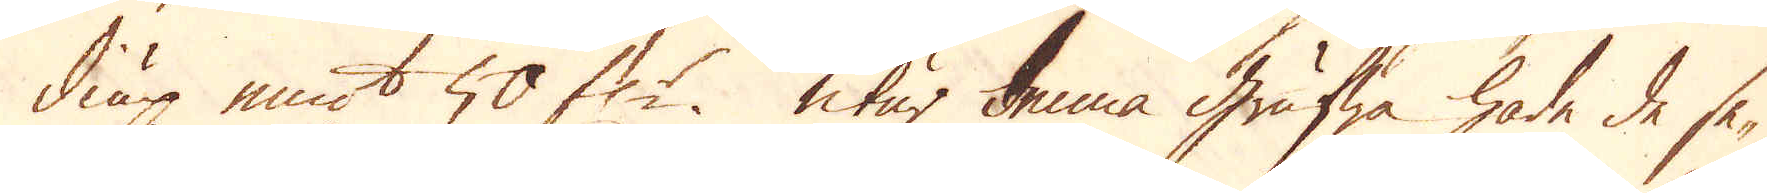diup emot 50 f:r. Utur denna grufwa hade de se-
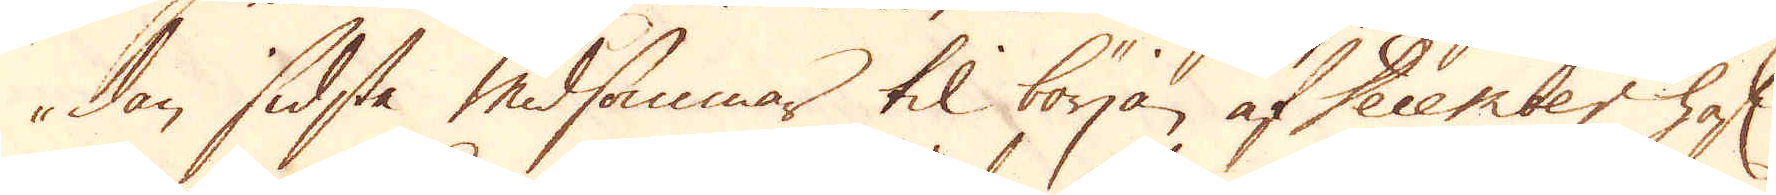dan sidsta Midsommar til början af December haft
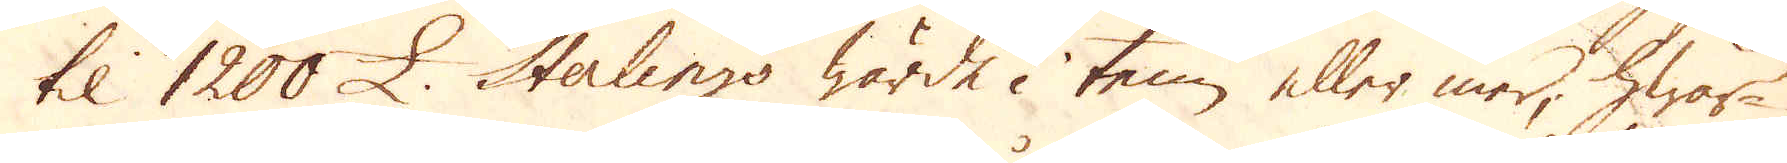til 1200 £ Sterlings wärde i tenn eller mer, hwar-
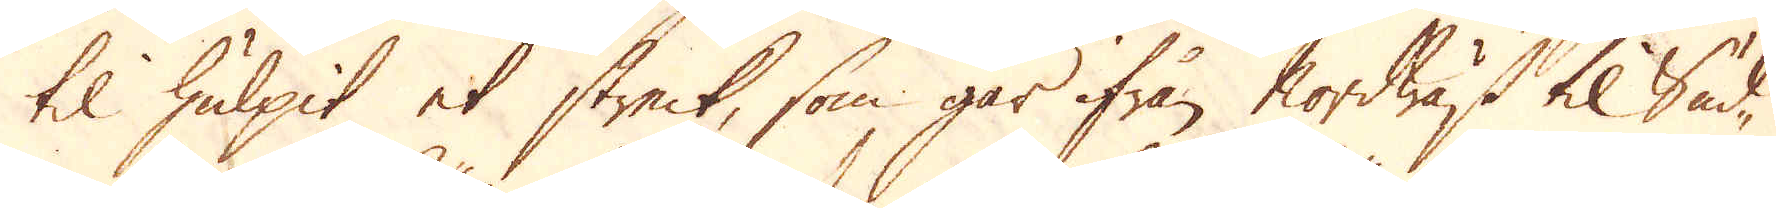til hulpit et streck, som går ifrån Nordwäst til Sud-
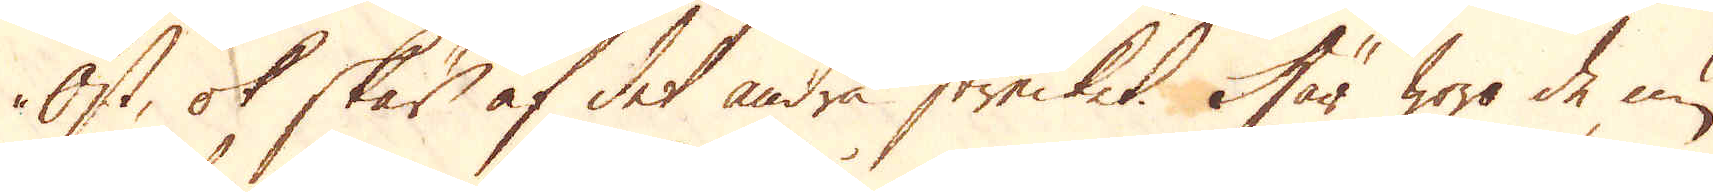Öst, ok skär af det andra strecket. Här woro de nu
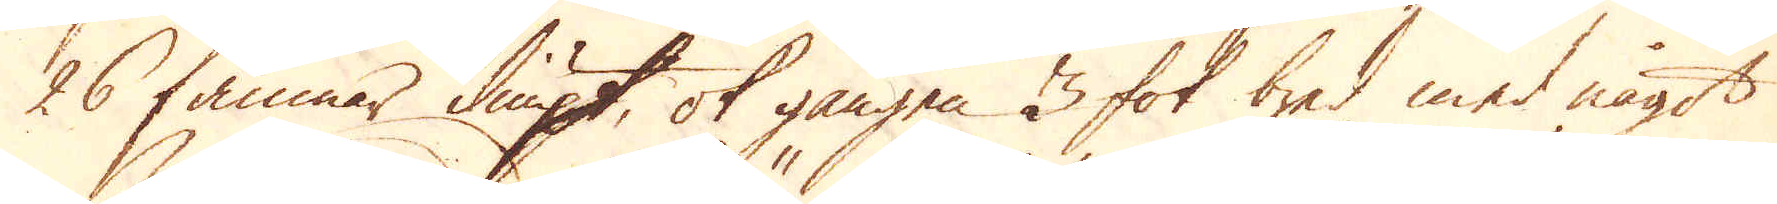26 famnar diupt, ok gången 3 fot bred med något
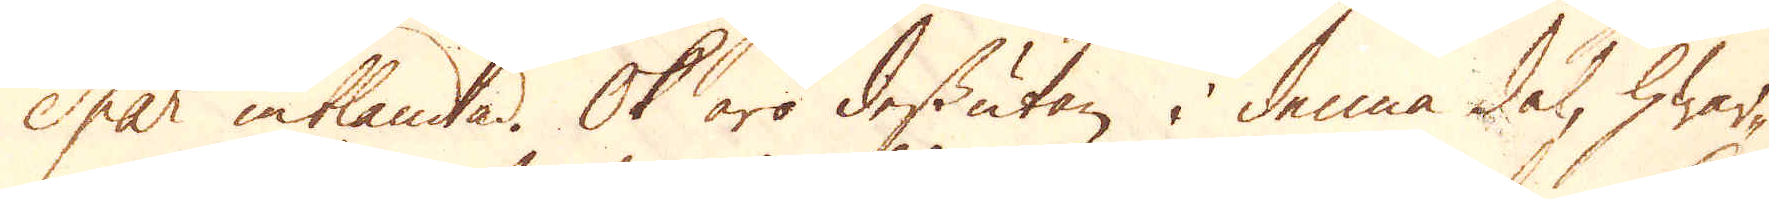Spar inblandad. Ok äro dessutan i denna del, hwar-
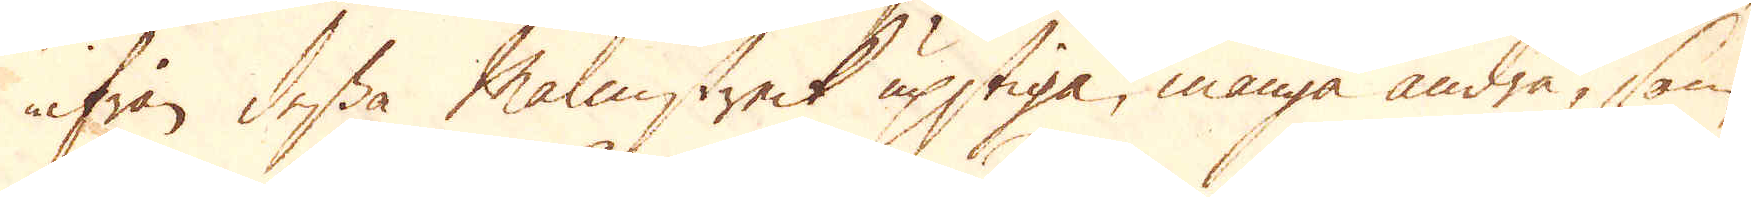ifrån dessa Malmstreck upstiga, många andra, som
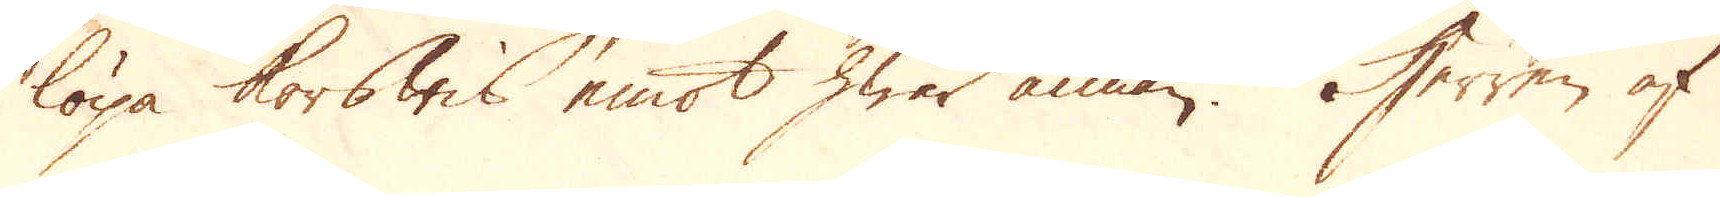löpa korswis emot hwar annan. Herren af
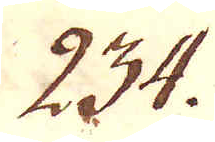234.
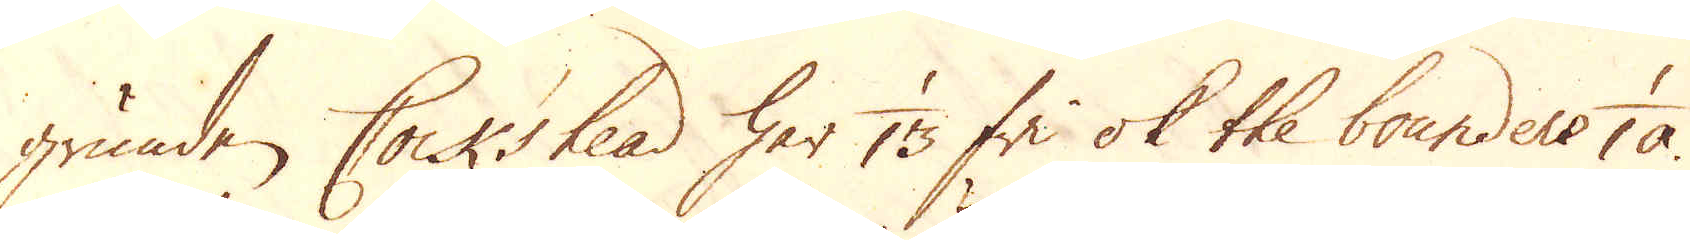grunden Cock'shead har 1/13 fri ok the bounders 1/10.
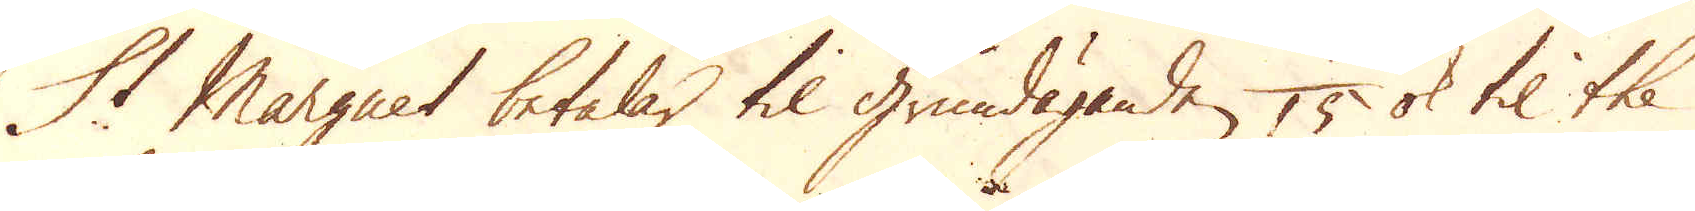St Marguet betalar til grundäganden, 1/15 ok til the
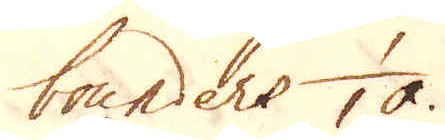bounders 1/10.
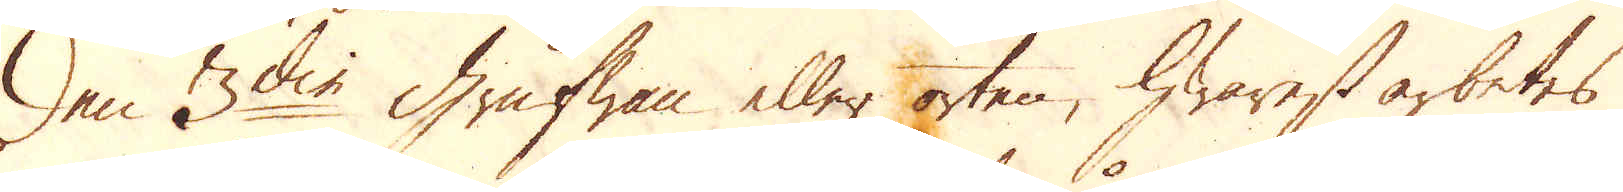Den 3die Grufwan eller orten, hwarest arbetes
